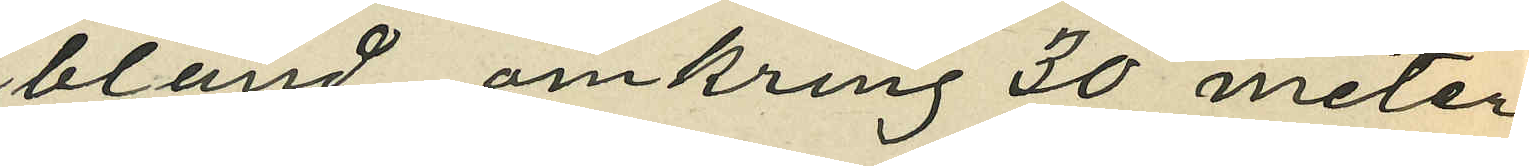bland omkring 30 meter
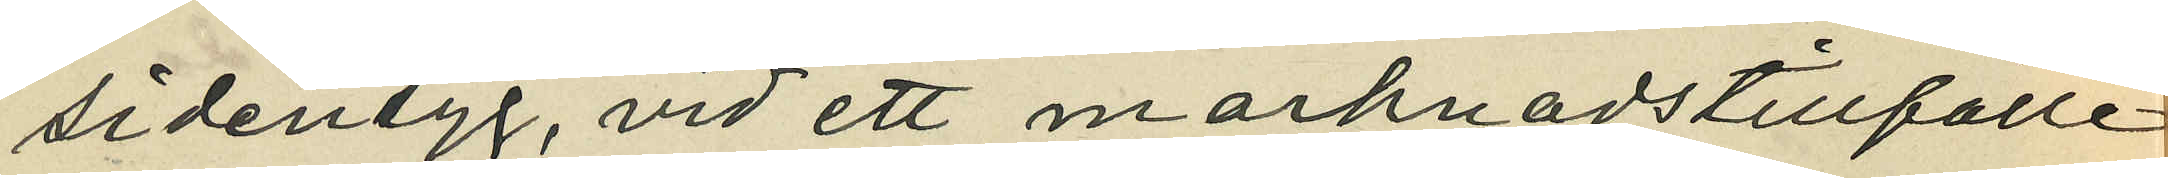sidentyg, vid ett marknadstillfälle
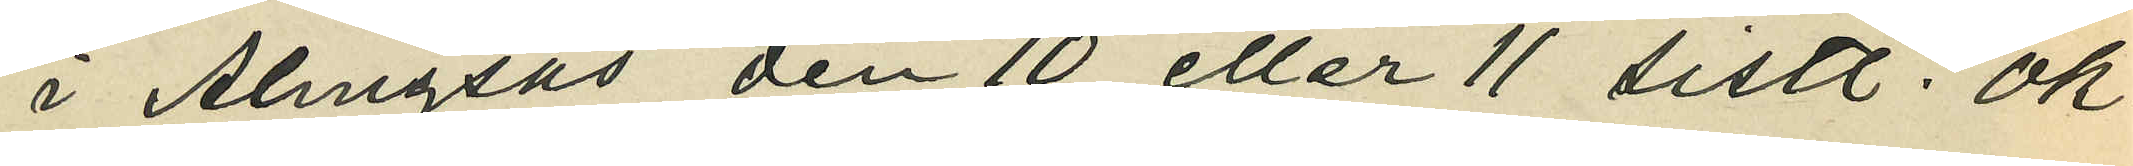i Alingsås den 10 eller 11 sistl. Ok¬
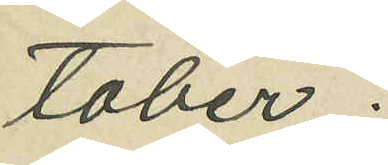tober;
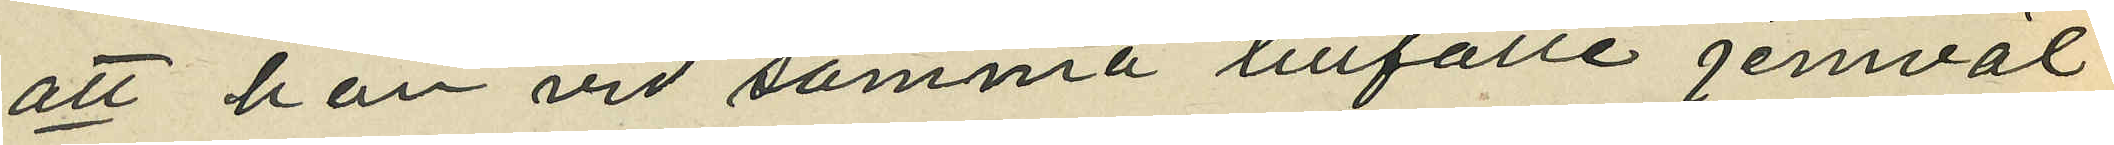att han vid samma tillfälle jemväl
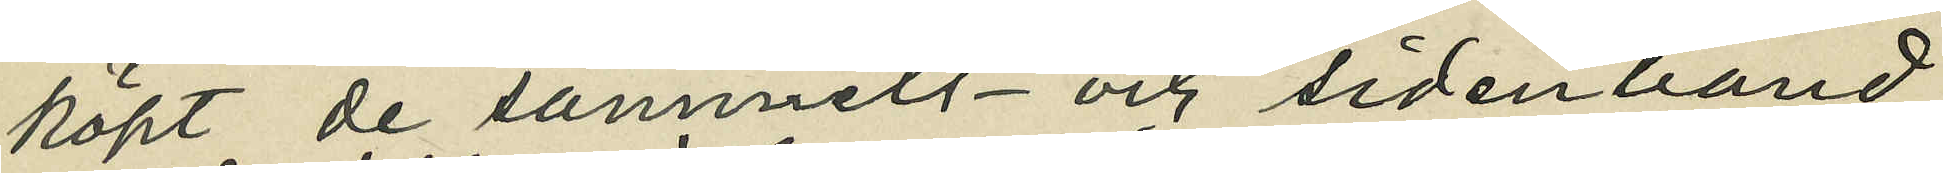köpt de sammets- och sidenband
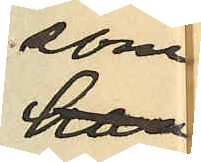som
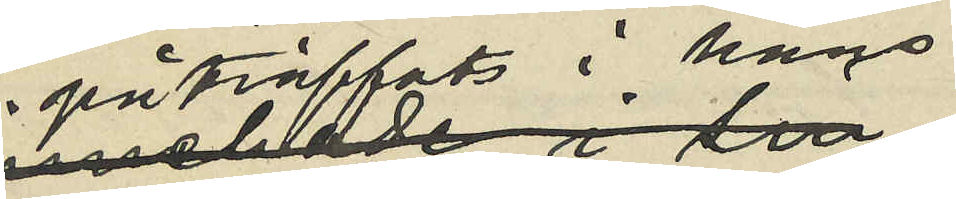påträffats i hans
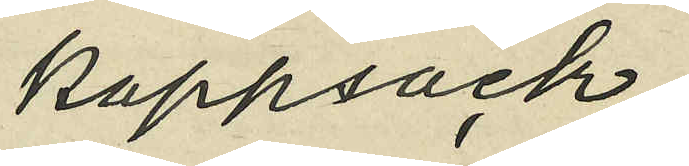kappsäck;
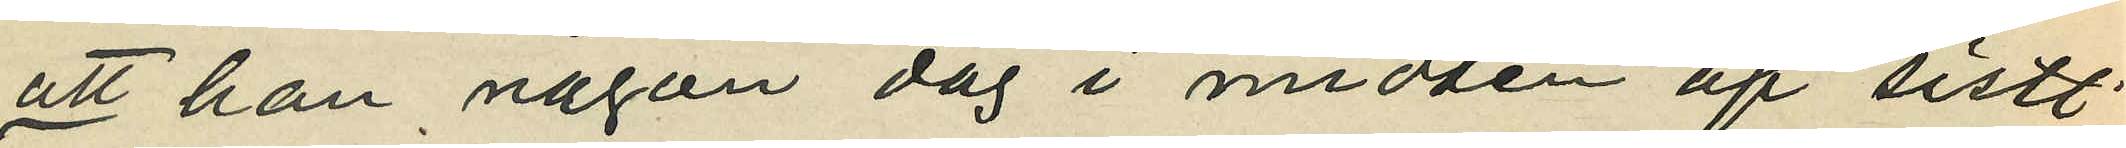att han någon dag i midten af sistl.
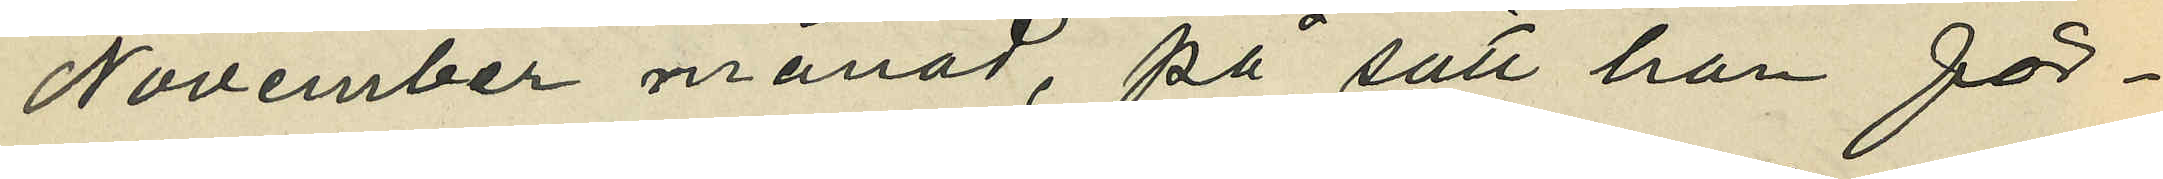November månad, på sätt han för¬
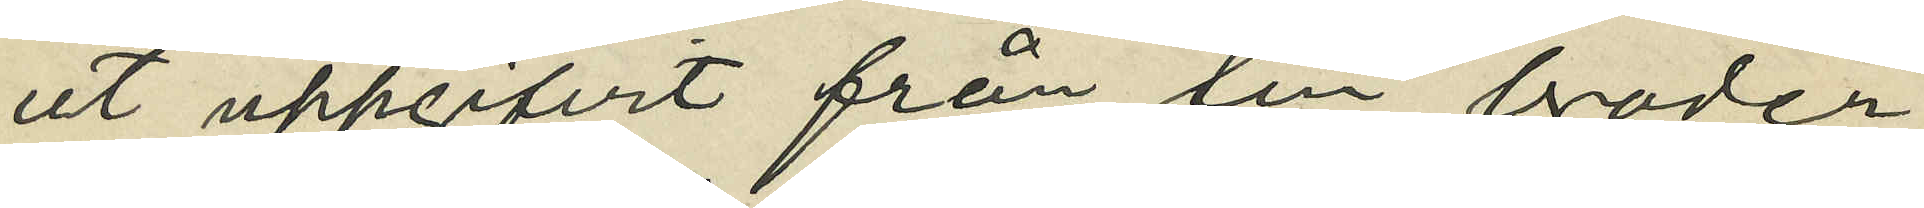ut uppgifvit från sin broder
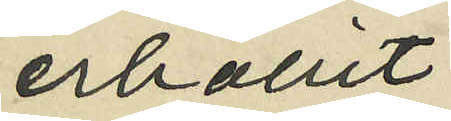erhållit
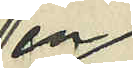en
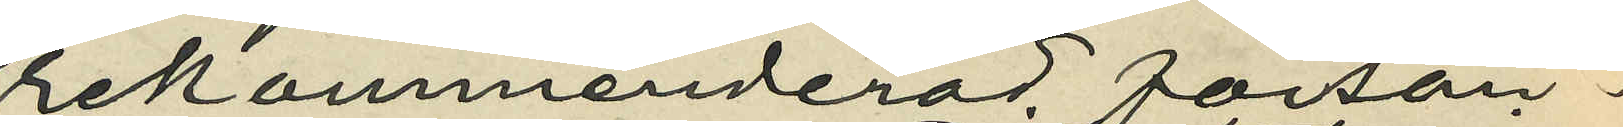rekommenderad försän¬
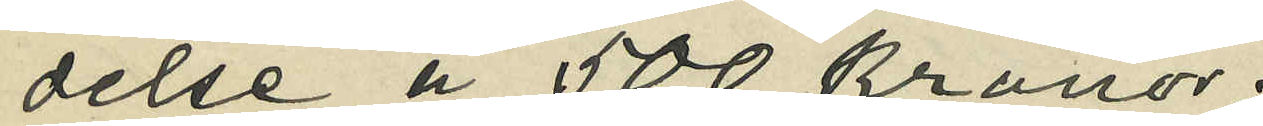delse å 500 kronor;
